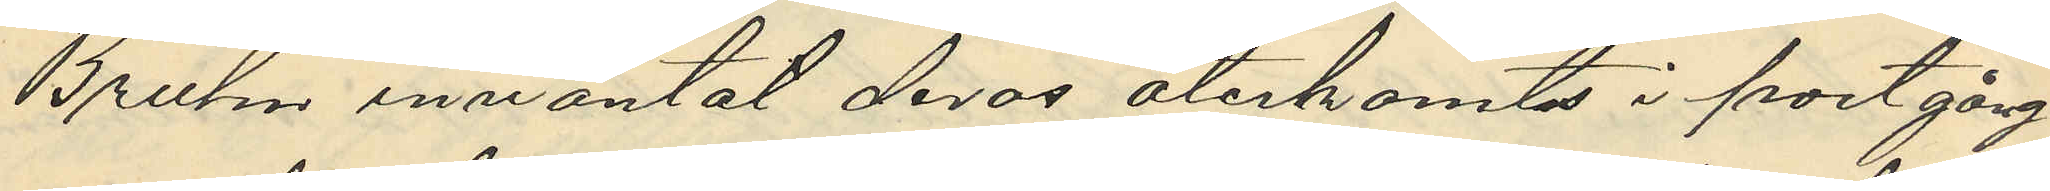Bruhn inväntat deras återkomst i portgång¬
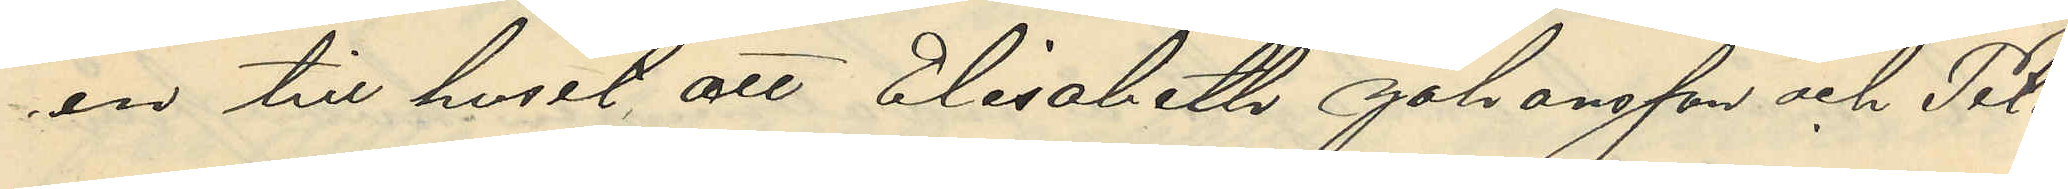en till huset att Elisabeth Johansson och Pet¬
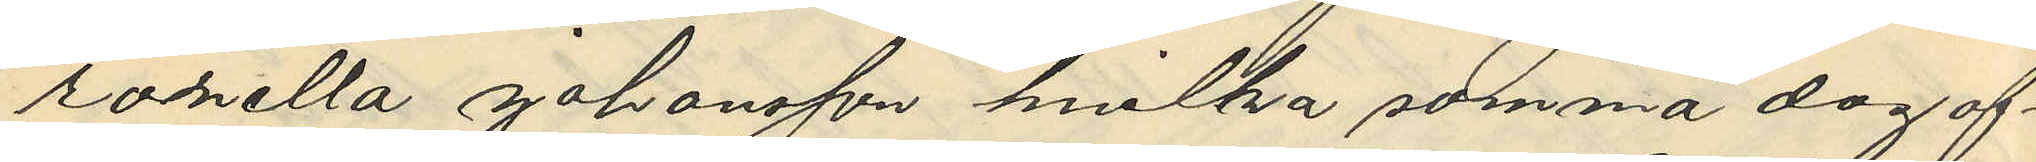ronella Johansson, hvilka samma dag af¬
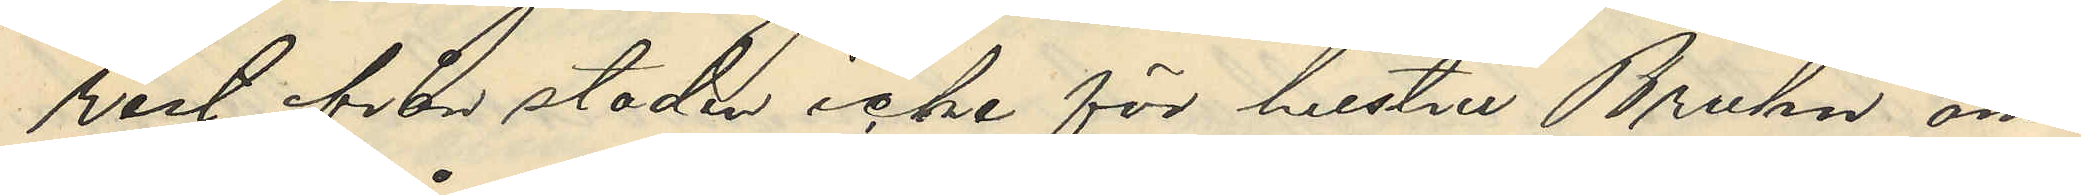rest ifrån staden icke för hustru Bruhn om¬
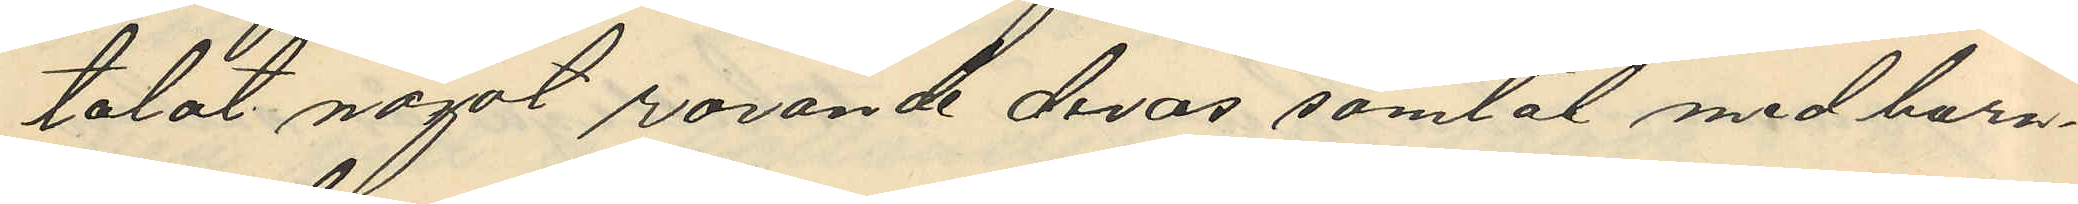talat något rörande deras samtal med barn¬
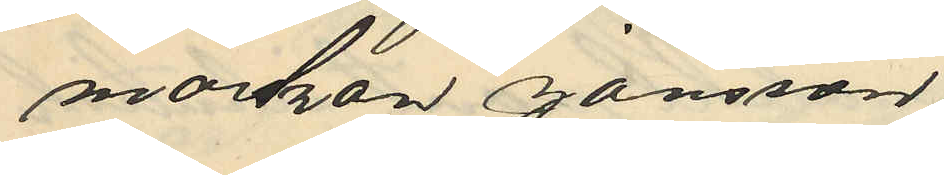morskan Jansson,
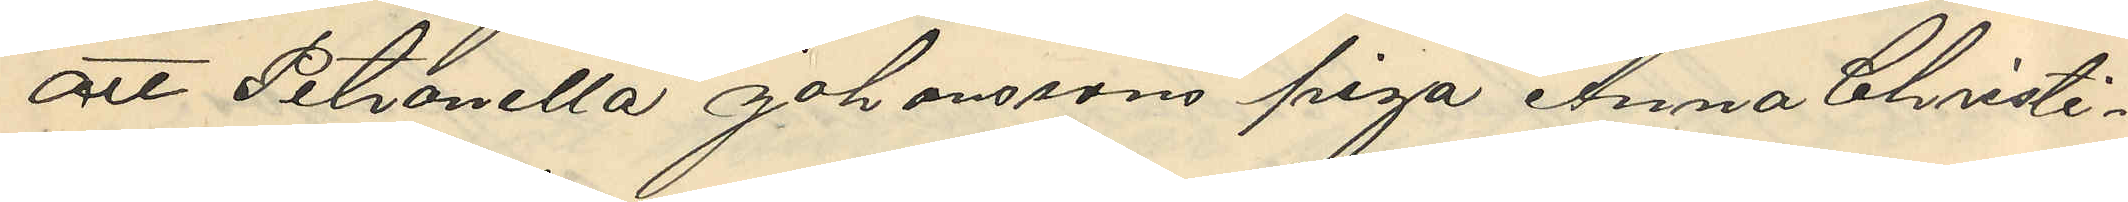att Petronella Johanssons piga Anna Christi¬
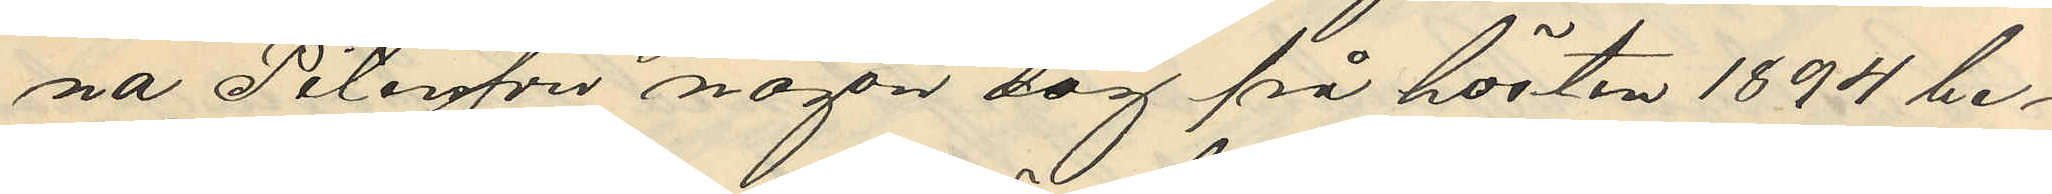na Petersson någon dag på hösten 1894 be¬
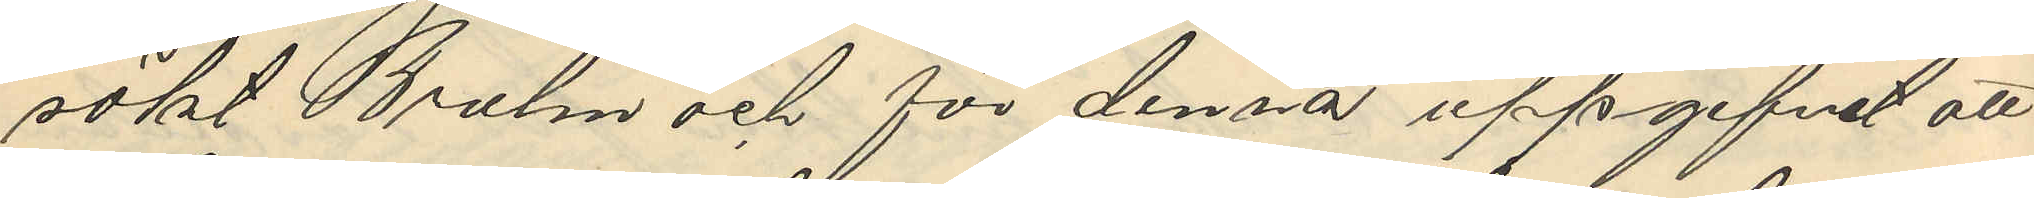sökt Bruhn och för denna uppgifvit att
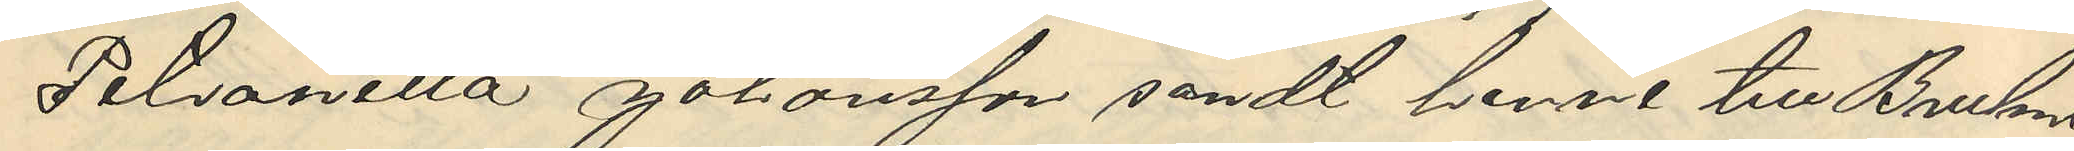Petronella Johansson sändt henne till Bruhn
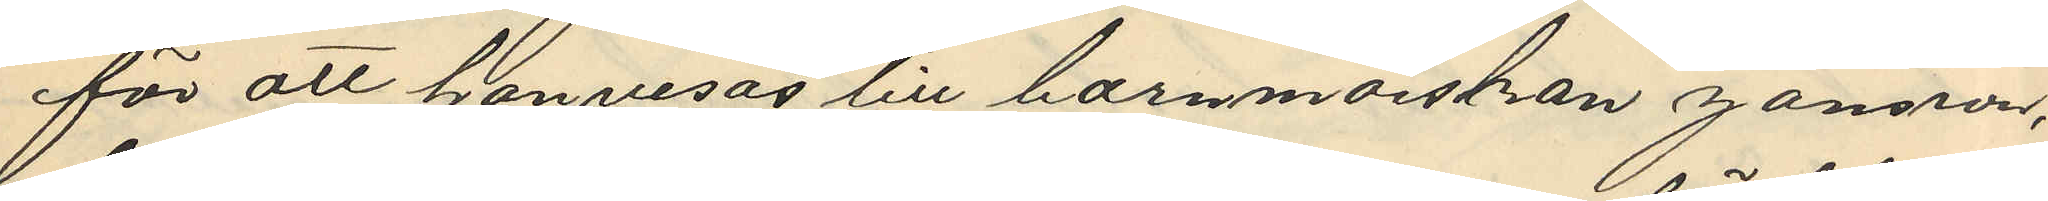för att hänvisas till barnmorskan Jansson,
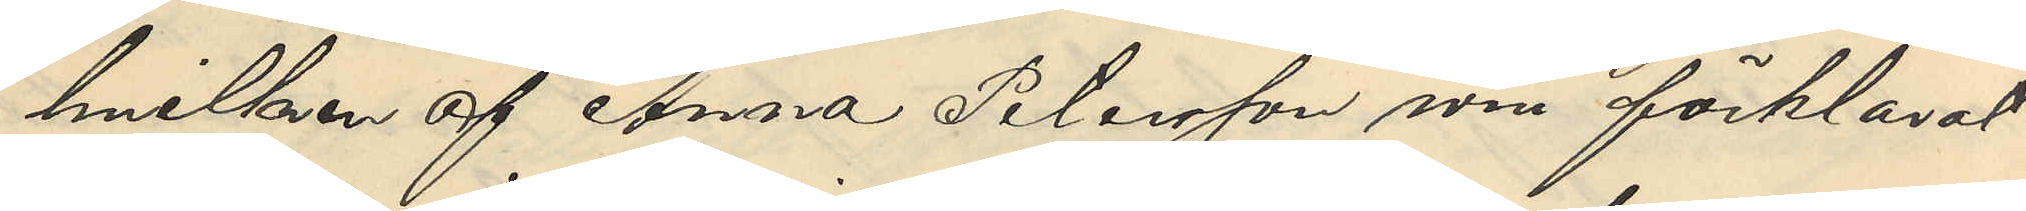hvilken af Anna Petersson som förklarat
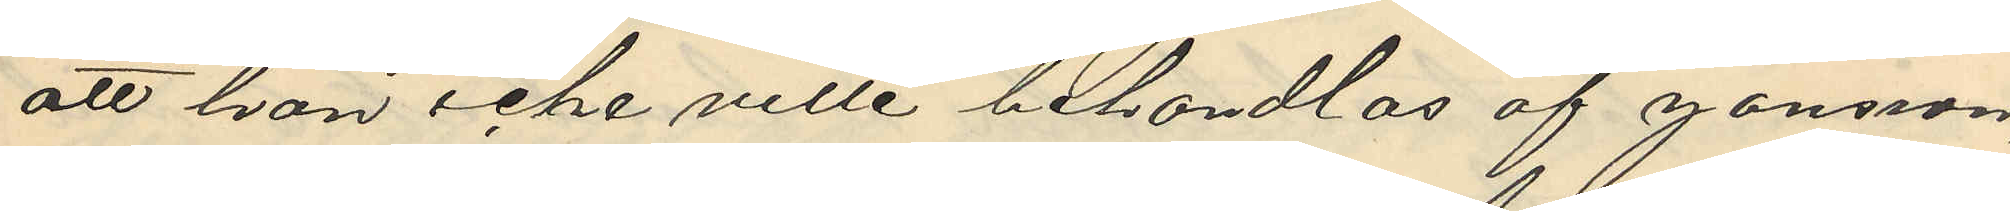att hon icke ville behandlas af Jansson,
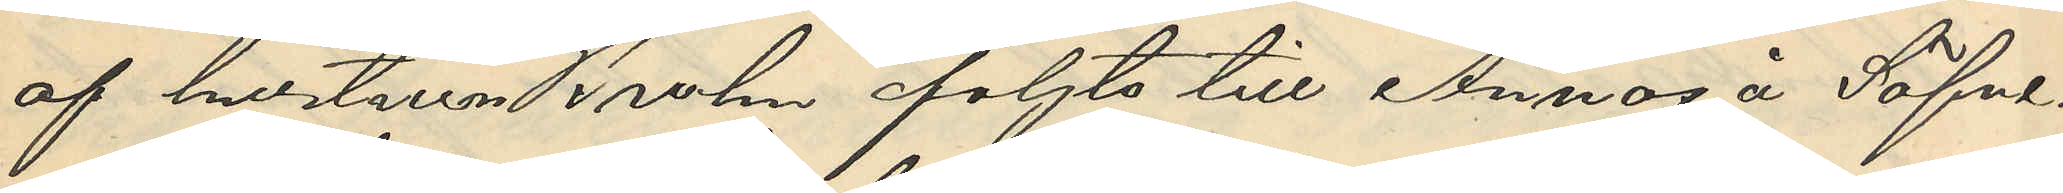af hustrun Bruhn följts till Annas å Säfve¬
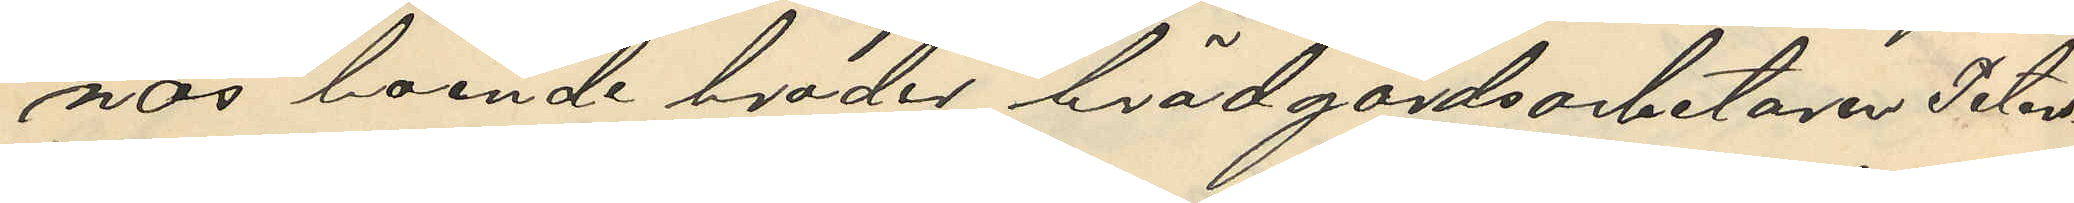näs boende broder trädgårdsarbetarn Peters¬
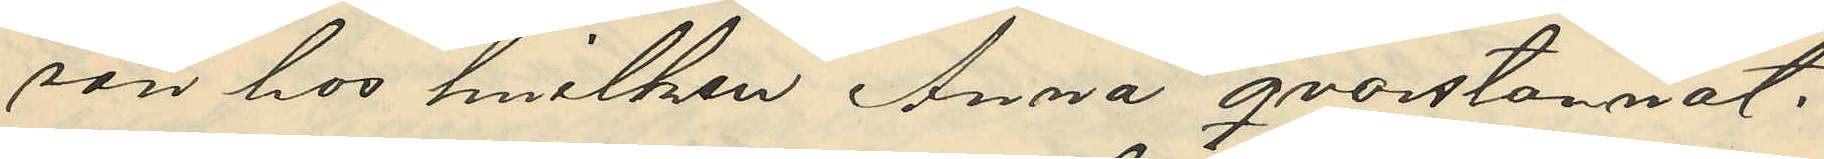son hos hvilken Anna qvarstarnat.
